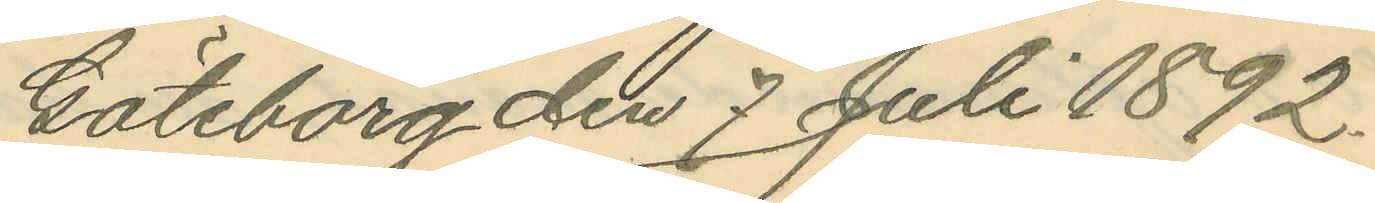Göteborg den 7 Juli 1892.
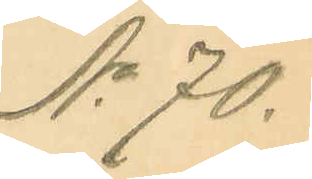No 70.
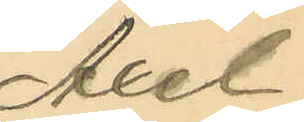Axel
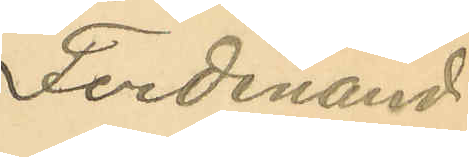Ferdinand
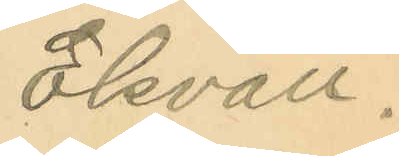Ekvall.
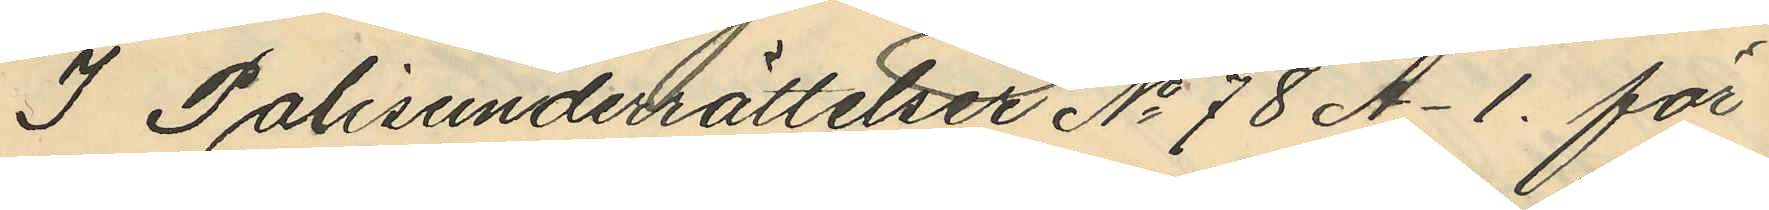I Polisunderrättelser No 78 A-1. för
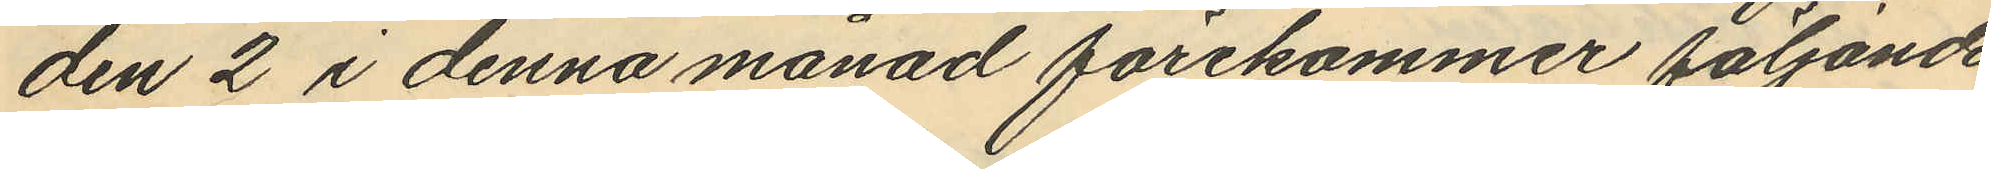den 2 i denna månad förekommer följande
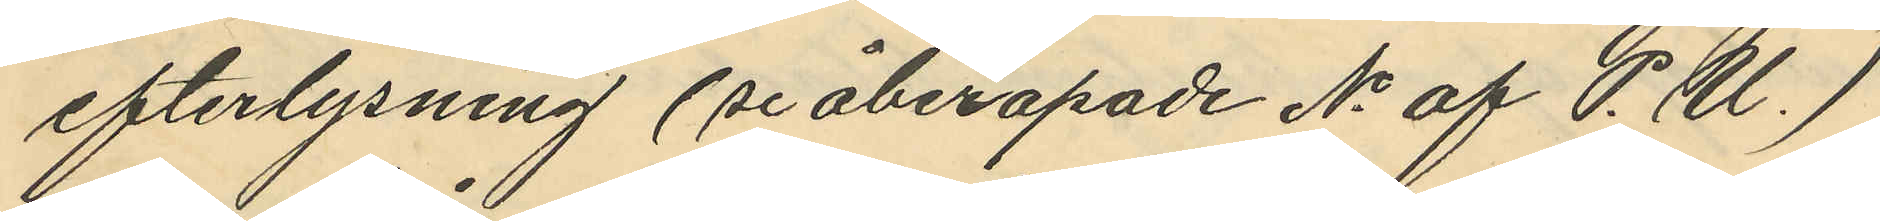efterlysning (se åberopade No af P.U.)
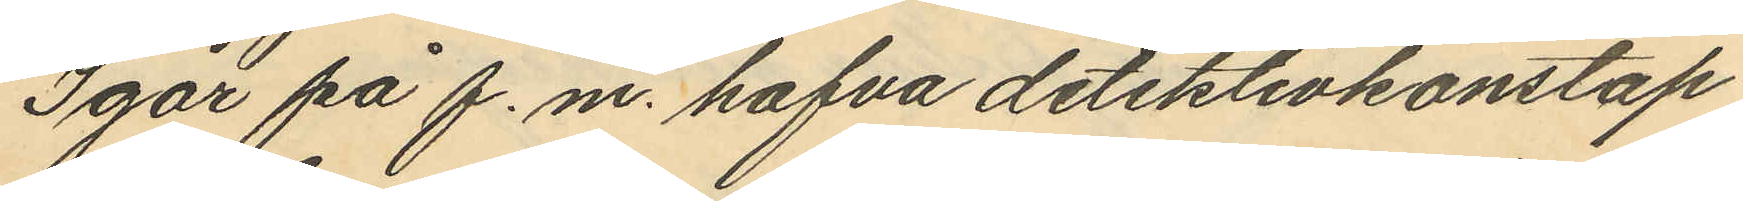Igår på f.m. hafva detektivkonstap¬
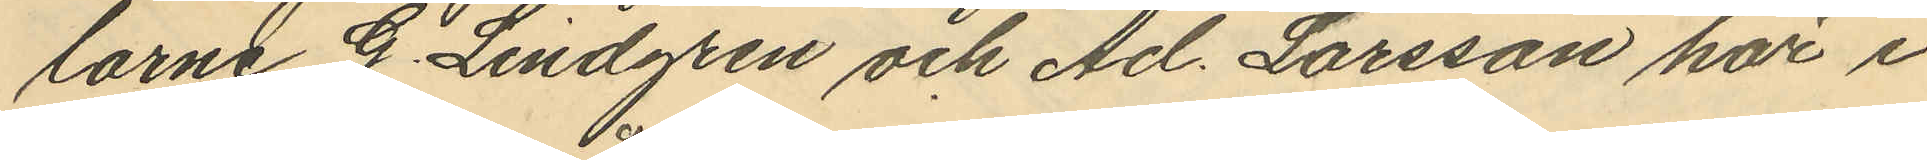larne G. Lindgren och Ad. Larsson här i
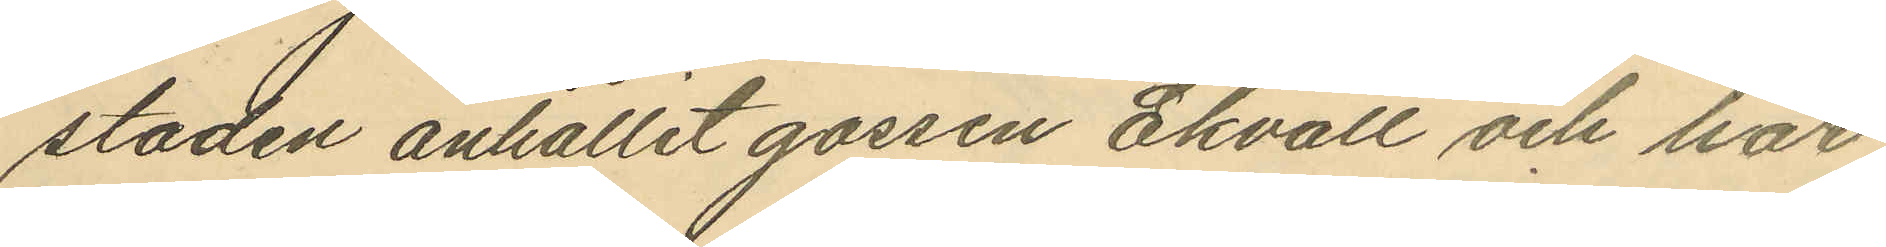staden anhållit gossen Ekvall och har
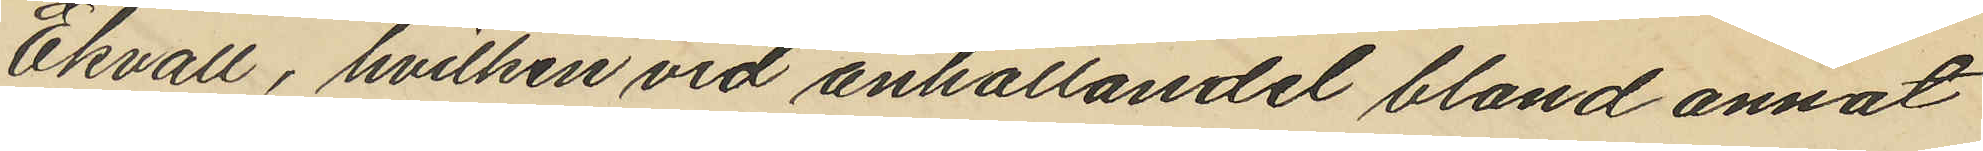Ekvall, hvilken vid anhållandel bland annat
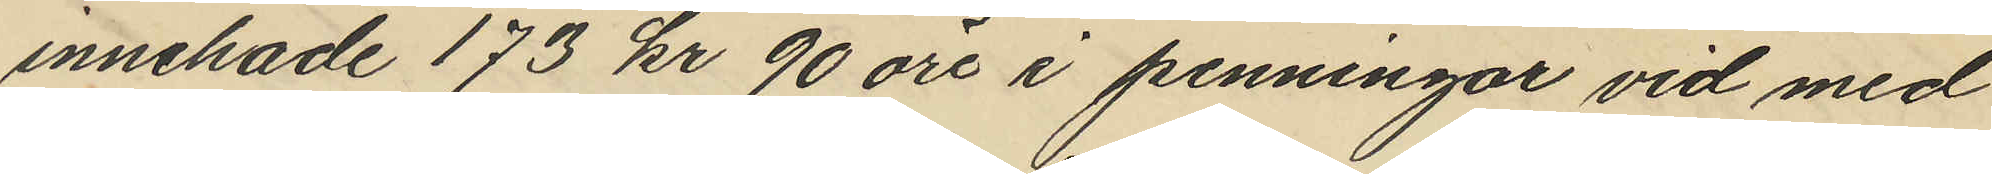innehade 173 kr 90 öre i penningar vid med
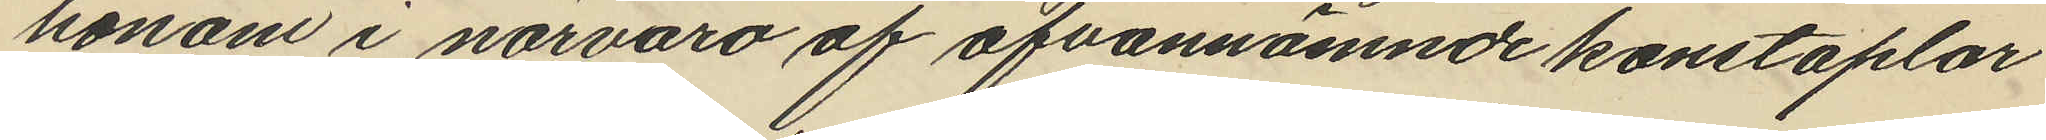honom i närvaro af ofvannämnde konstaplar
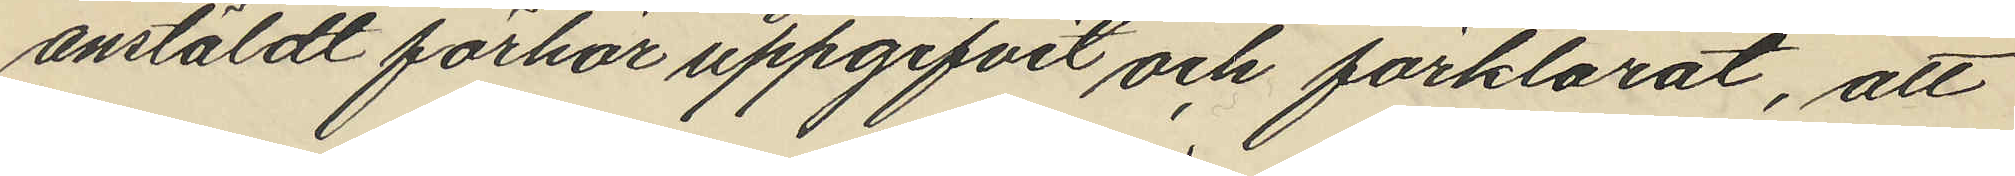anstäldt förhör uppgifvit och förklarat, att
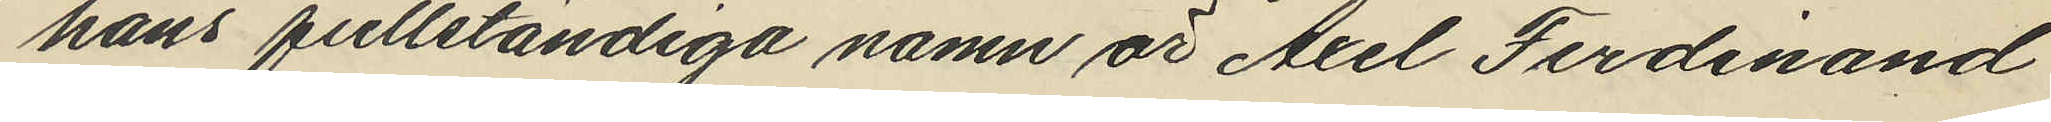hans fullständiga namn är Axel Ferdinand
